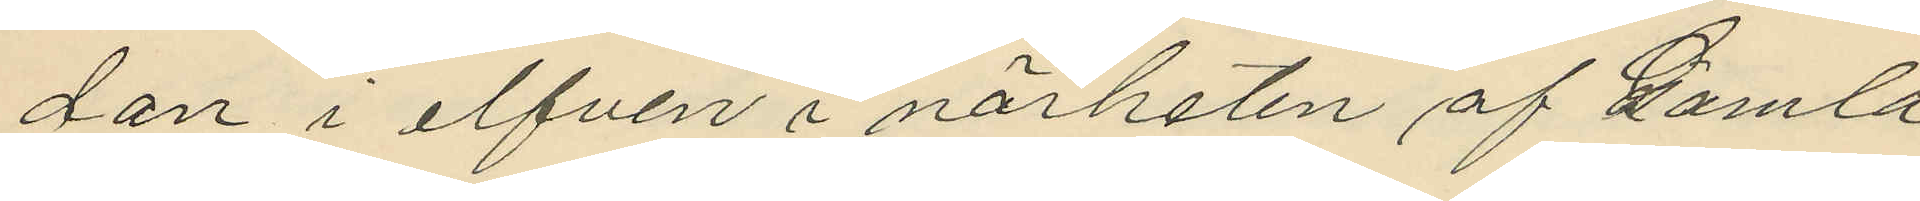dan i elfven i närheten af Gamla
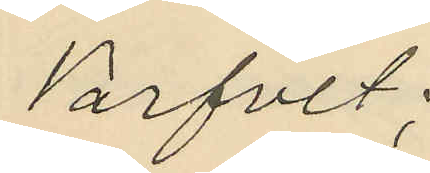Varfvet;
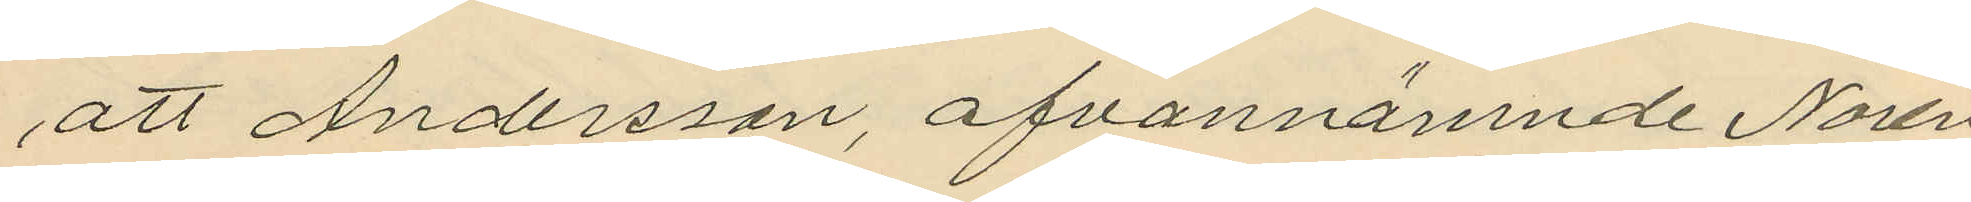att Andersson, ofvannämnde Norén
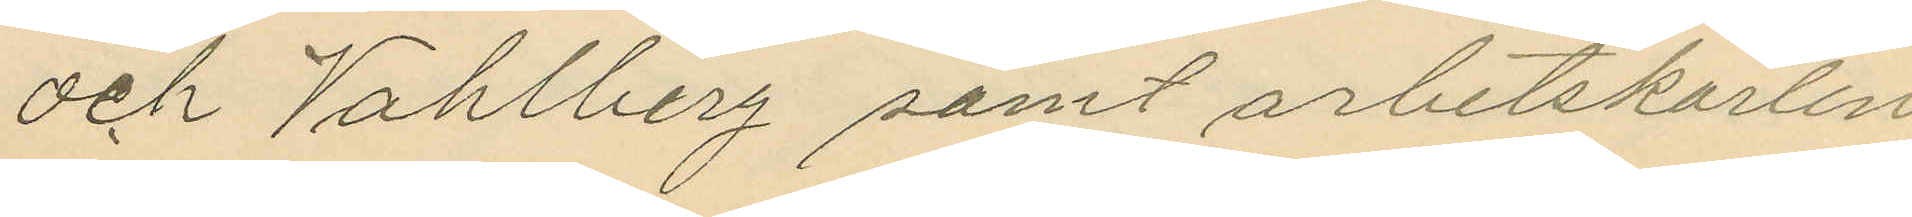och Vahlberg samt arbetskarlen
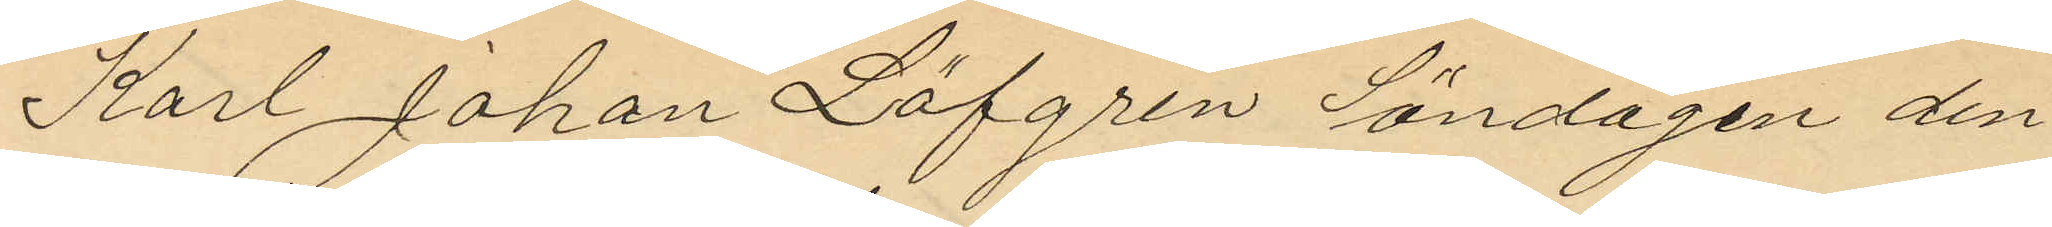Karl Johan Löfgren Söndagen den
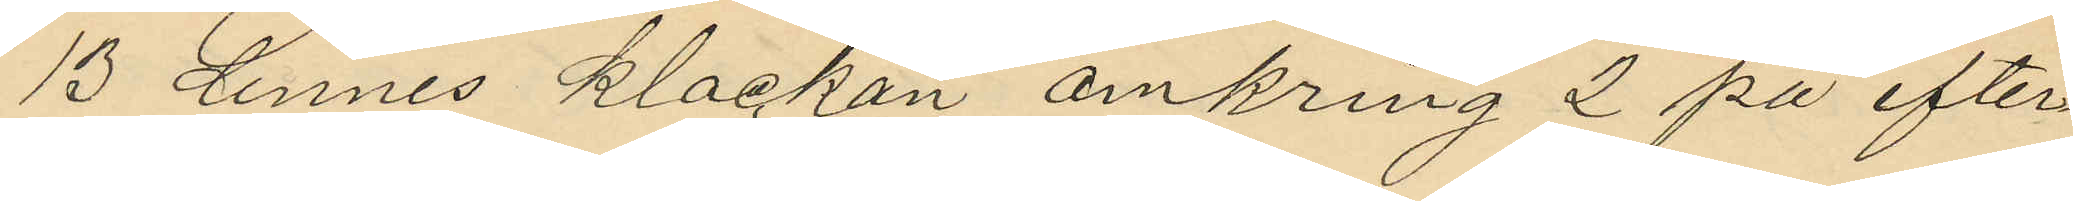13 dennes klockan omkring 2 på efter¬
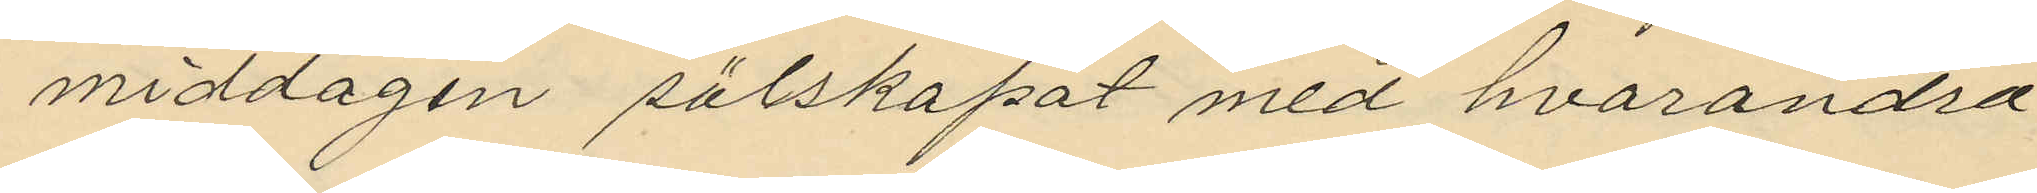middagen sälskapat med hvarandra
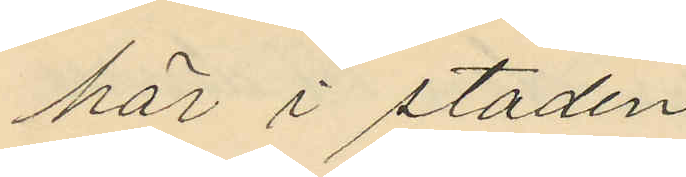här i staden;
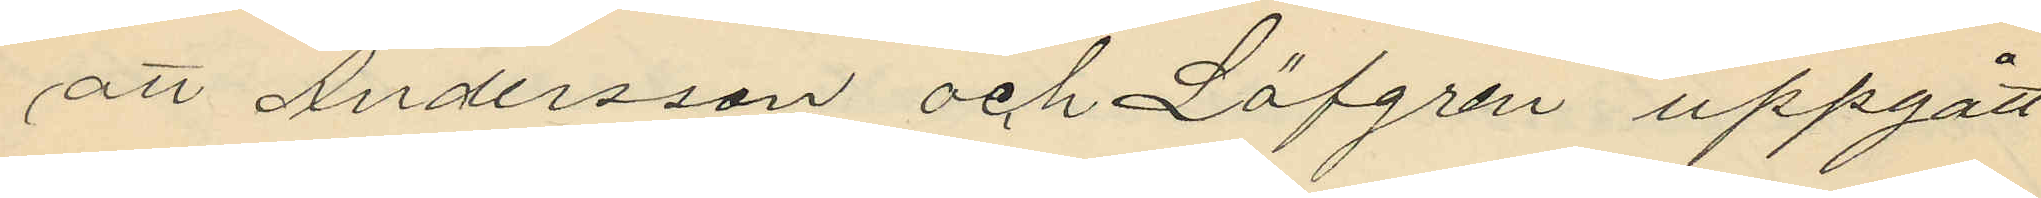att Andersson och Löfgren uppgått
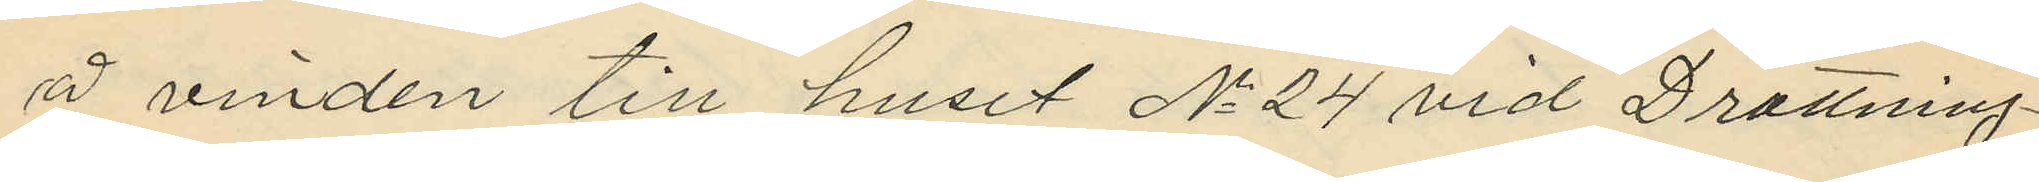å vinden till huset No 24 vid Drottning¬
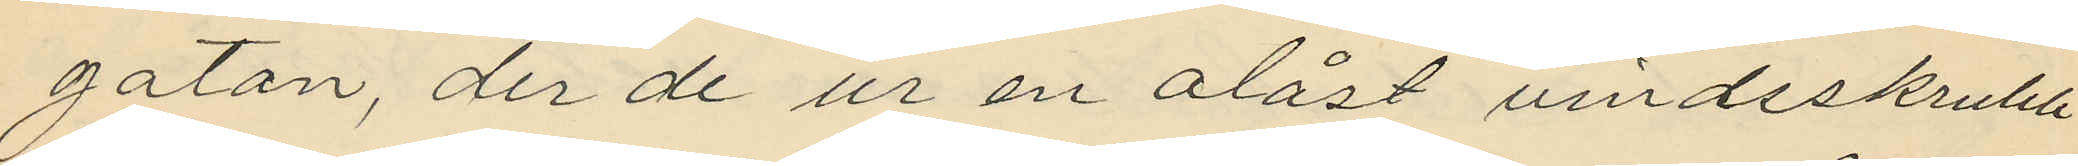gatan, der de ur en olåst vindsskrubb
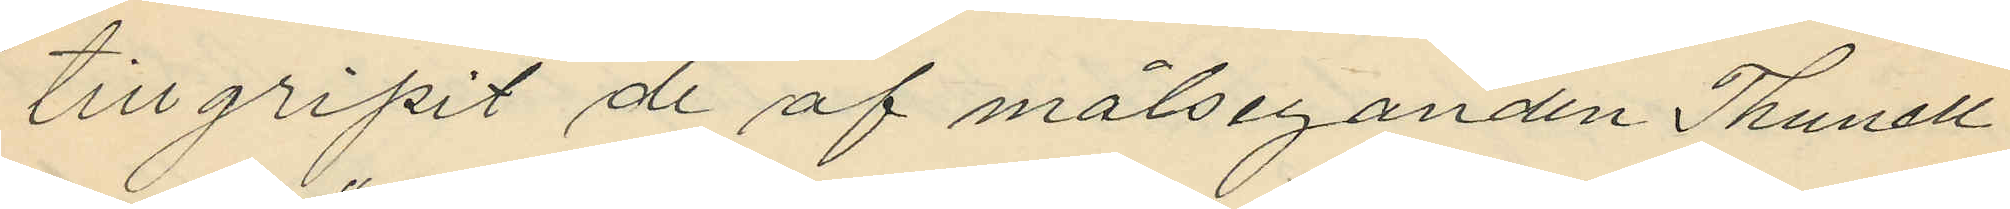tillgripit de af målseganden Thunell
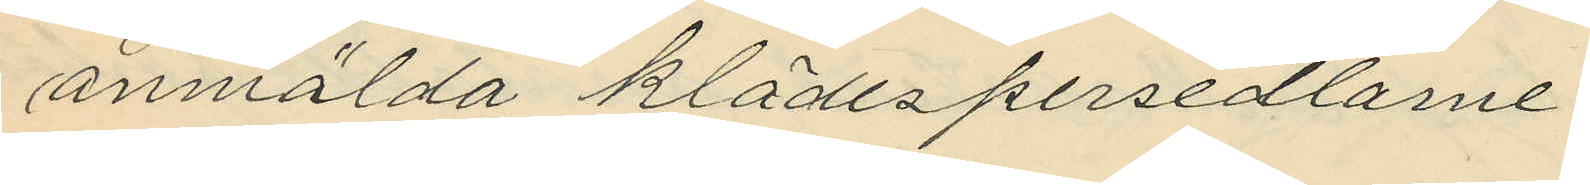anmälda klädespersedlarne;
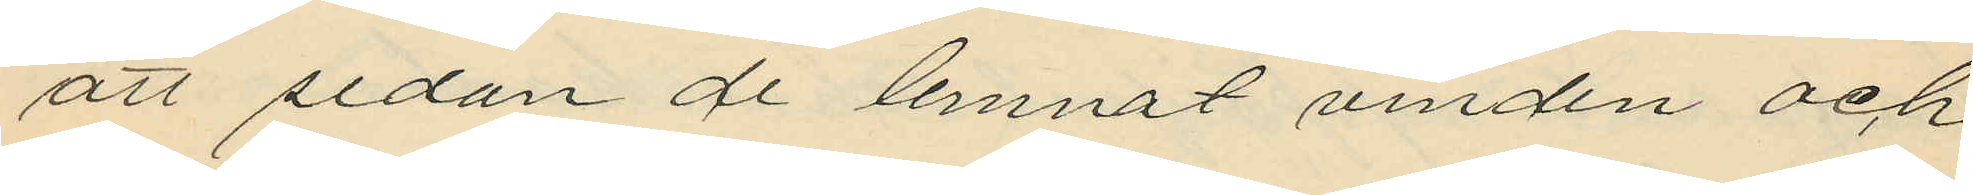att sedan de lemnat vinden och
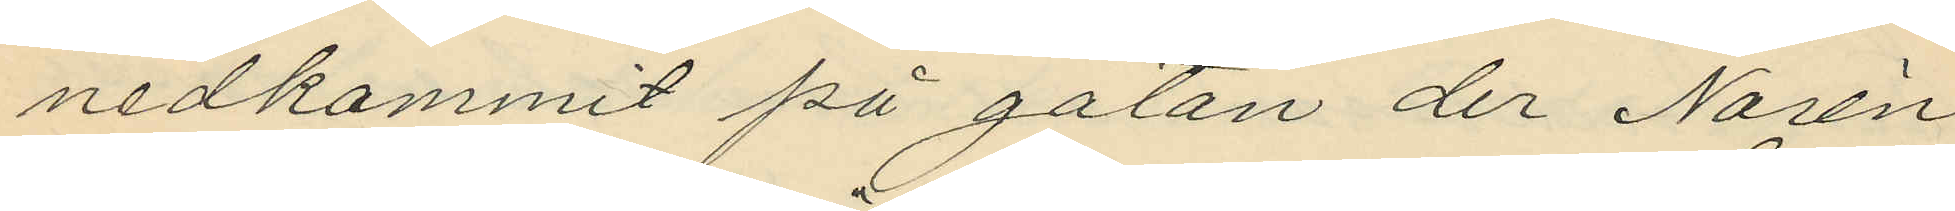nedkommit på gatan der Norén
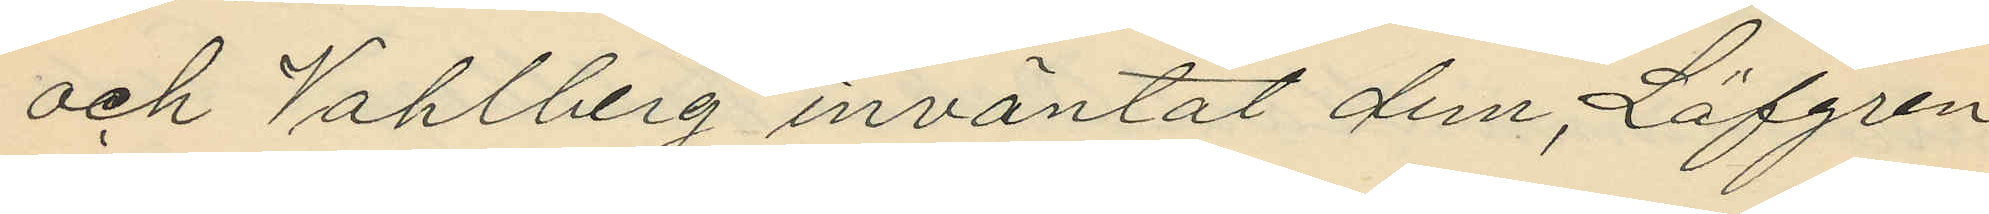och Vahlberg inväntat dem, Löfgren
